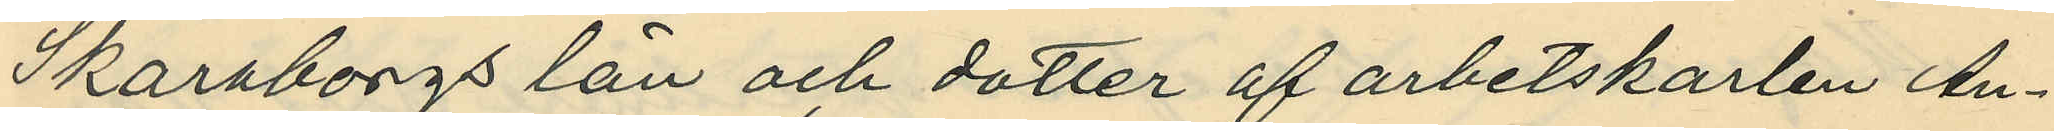Skaraborgs län och dotter af arbetskarlen An¬
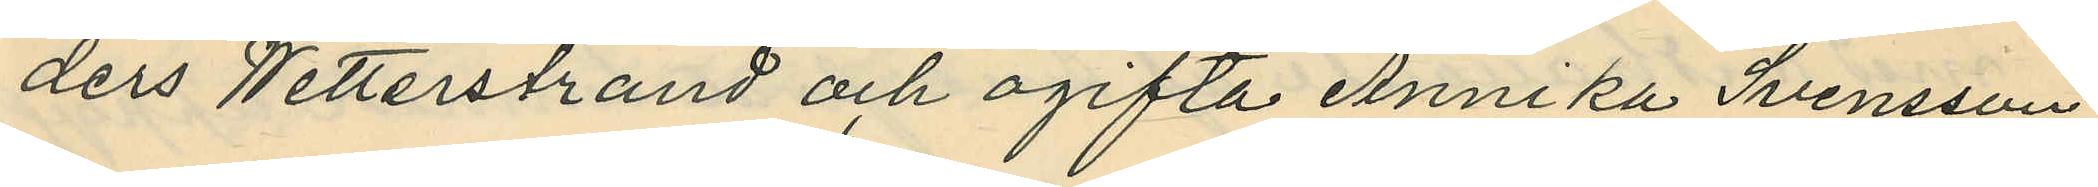ders Wetterstrand och ogifta Annika Svensson
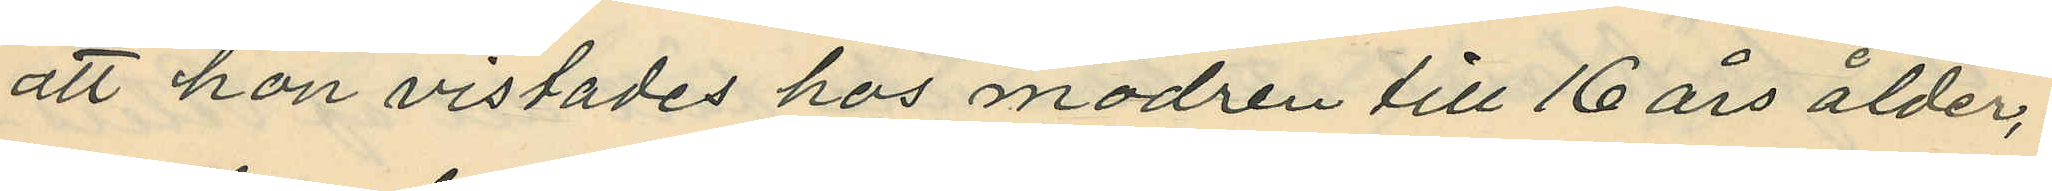att hon vistades hos modren till 16 års ålder,
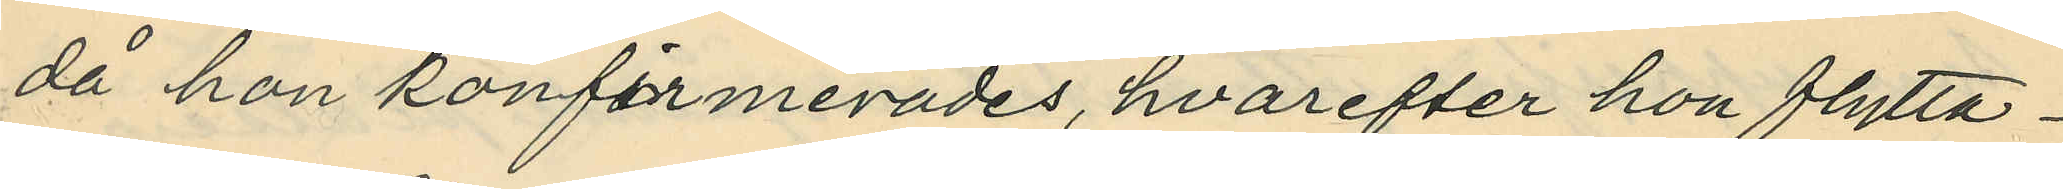då hon konfirmerades, hvarefter hon flytta¬
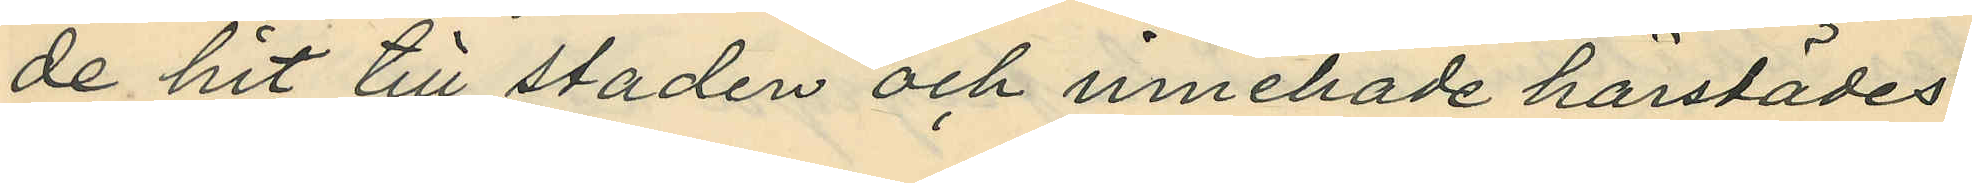de hit till staden och innehade härstädes
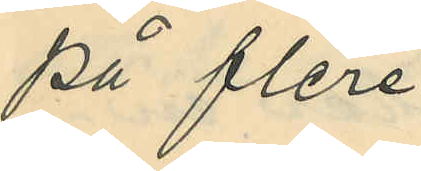på flere
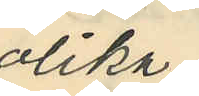olika
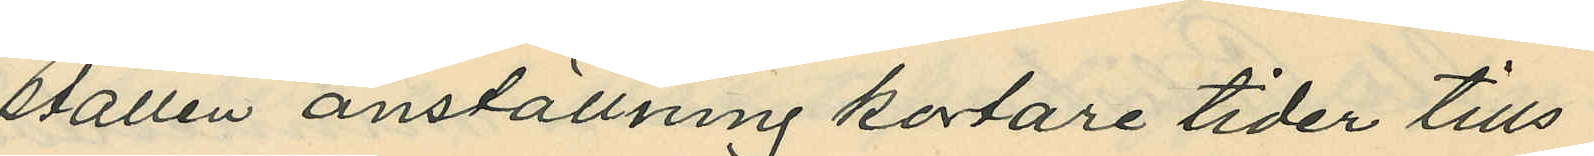ställen anställning kortare tider tills
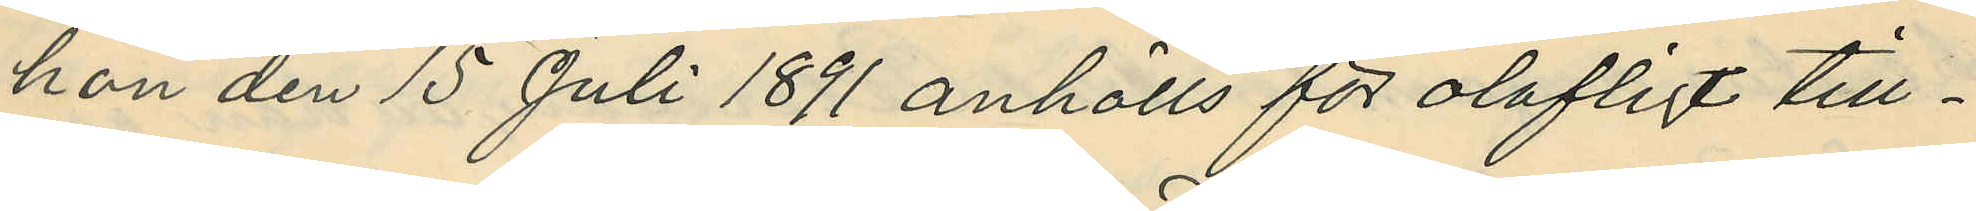hon den 15 Juli 1891 anhölls för olofligt till¬
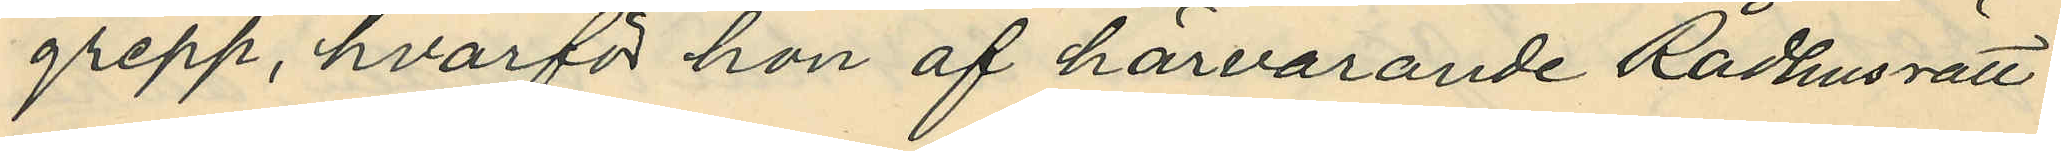grepp, hvarför hon af härvarande Rådhusrätt
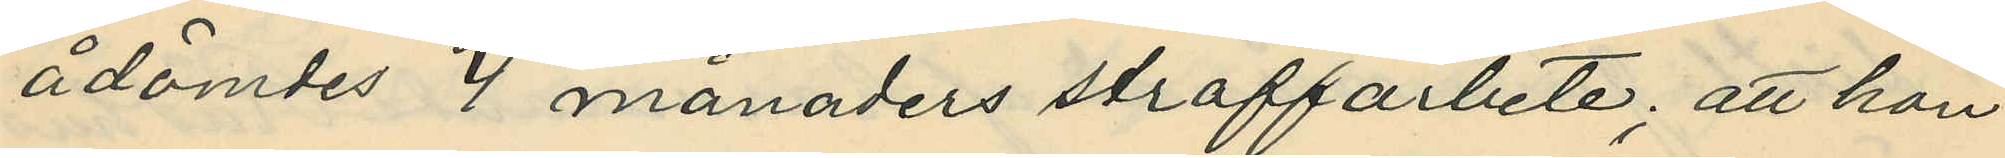ådömdes 4 månaders straffarbete; att hon
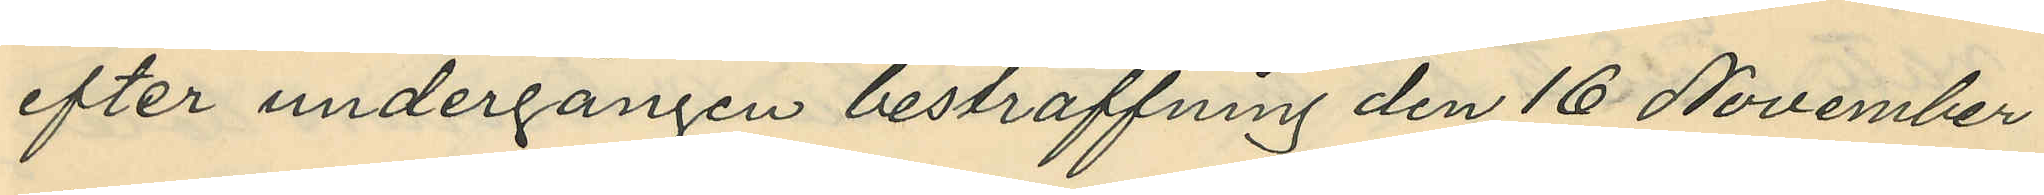efter undergången bestraffning den 16 November
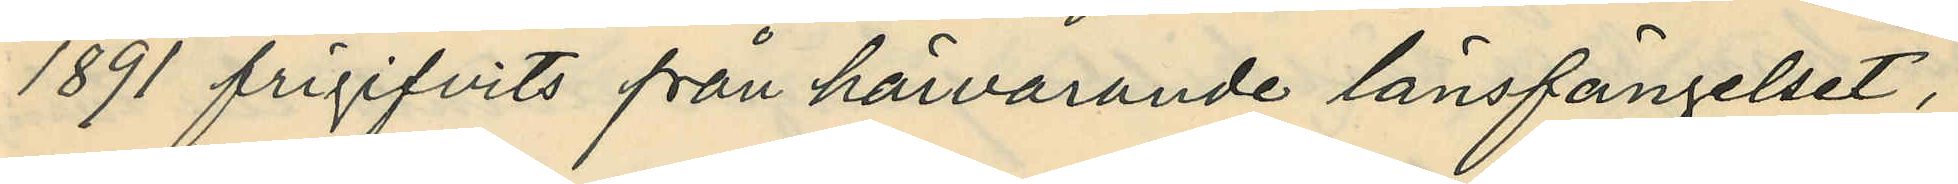1891 frigifvits från härvarande länsfängelset,
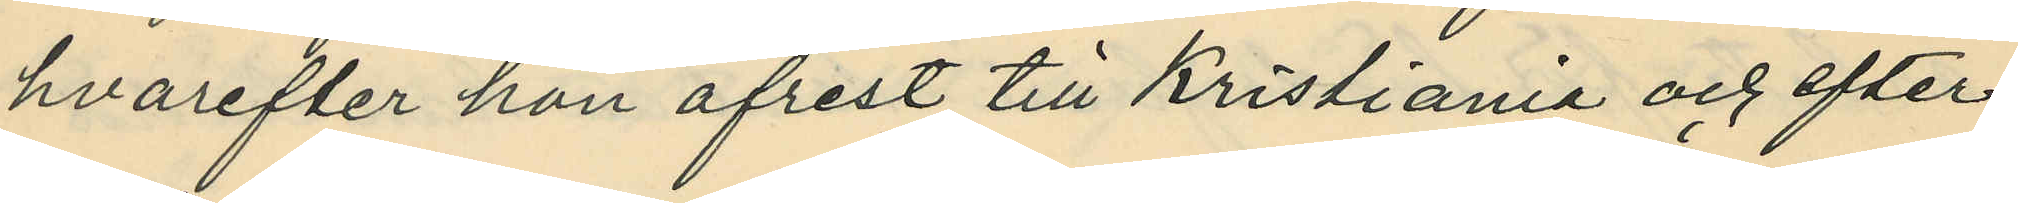hvarefter hon afrest till Kristiania och efter
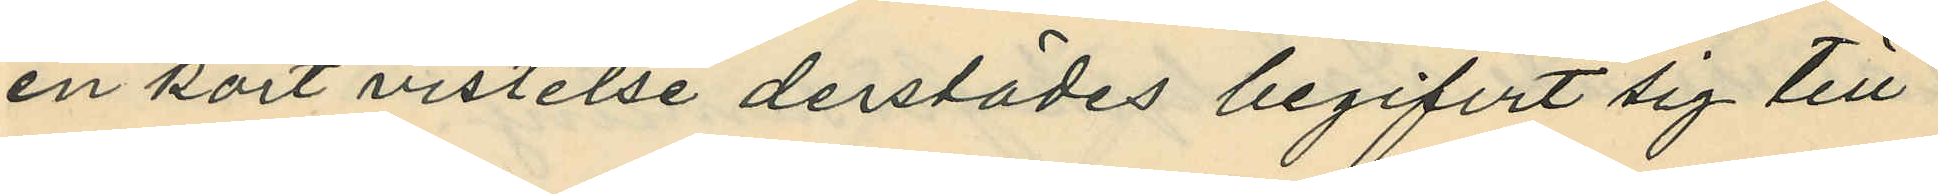en kort vistelse derstädes begifvit sig till
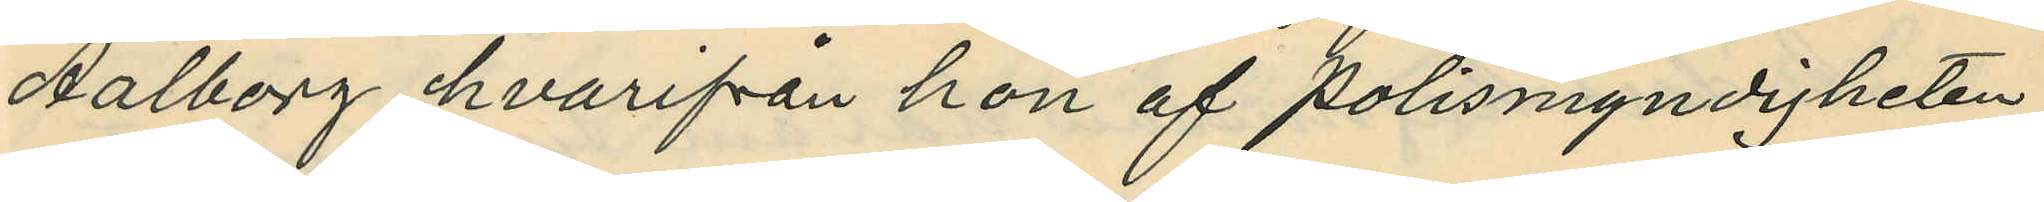Aalborg hvarifrån hon af Polismyndigheten
